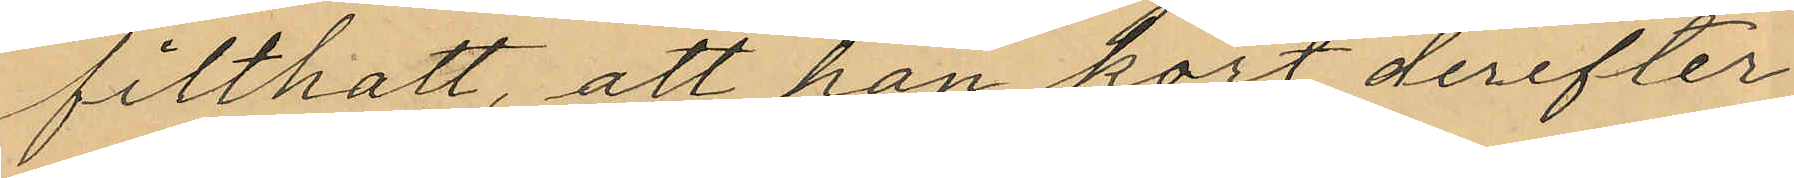filthatt, att han kort derefter
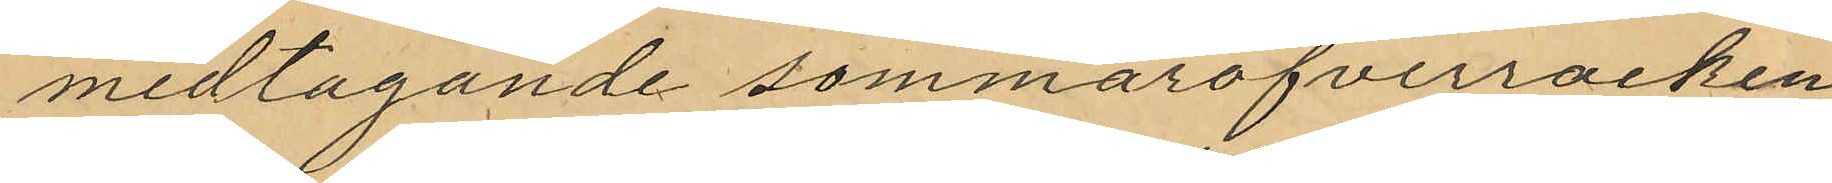medtagande sommaröfverrocken
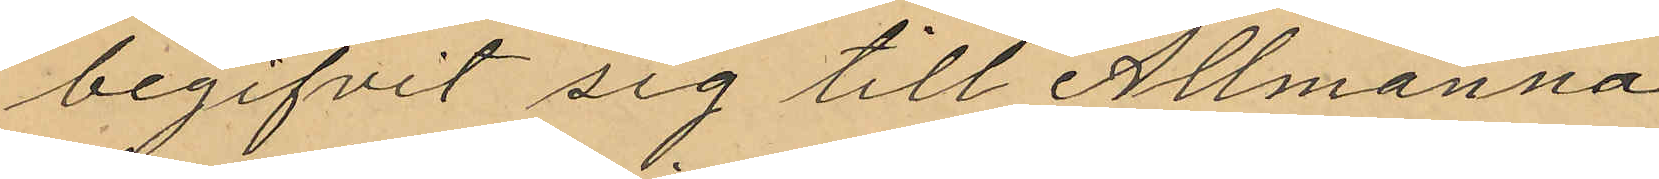begifvit sig till Allmänna
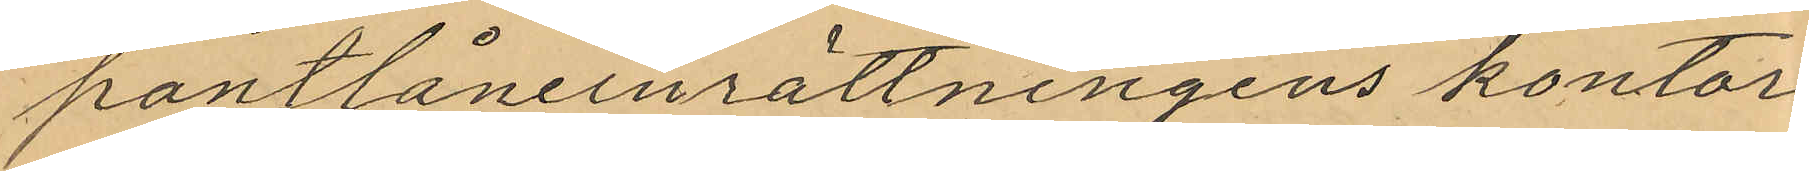pantlåneinrättningens kontor
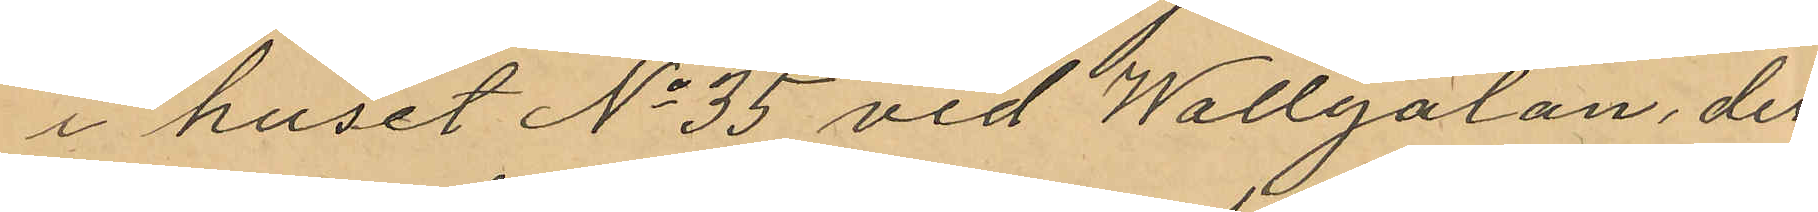i huset No 35 vid Wallgatan, der
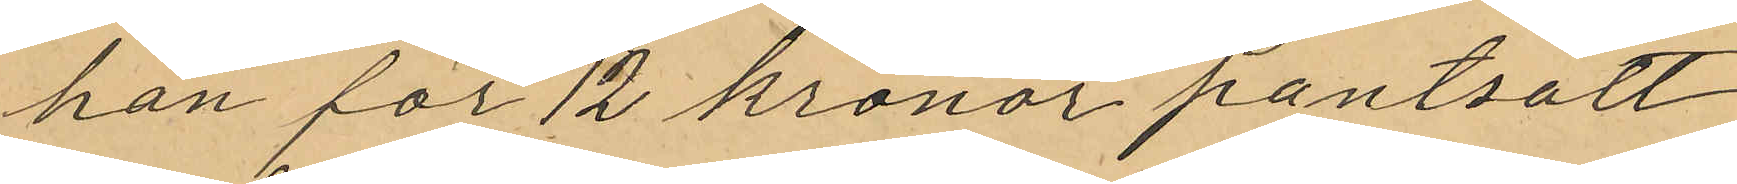han för 12 kronor pantsatt
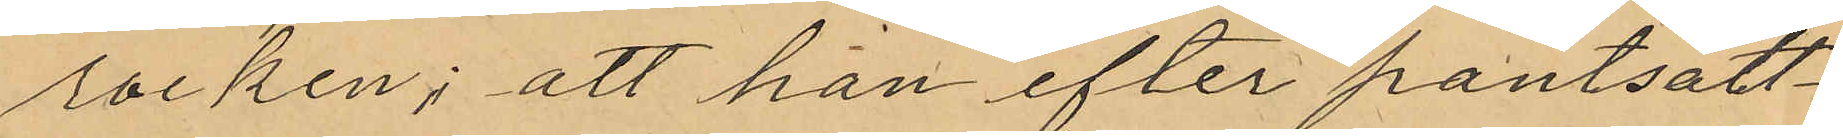rocken; att han efter pantsätt¬
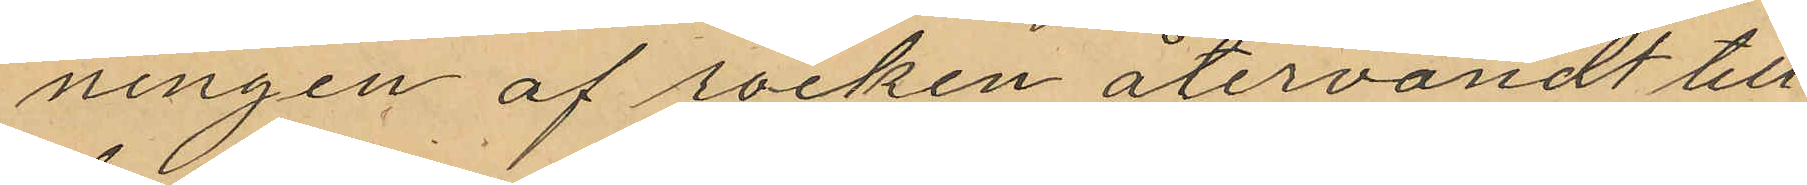ningen af rocken återvändt till
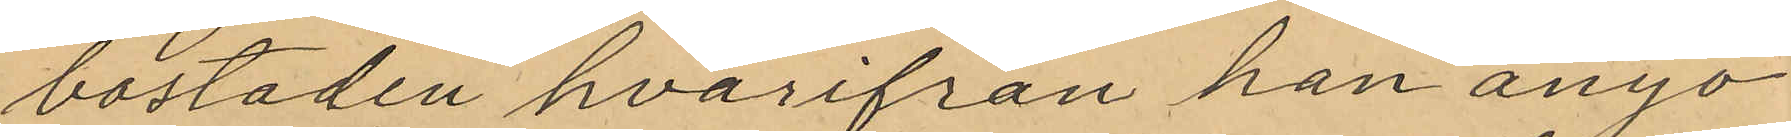bostaden hvarifrån han ånyo
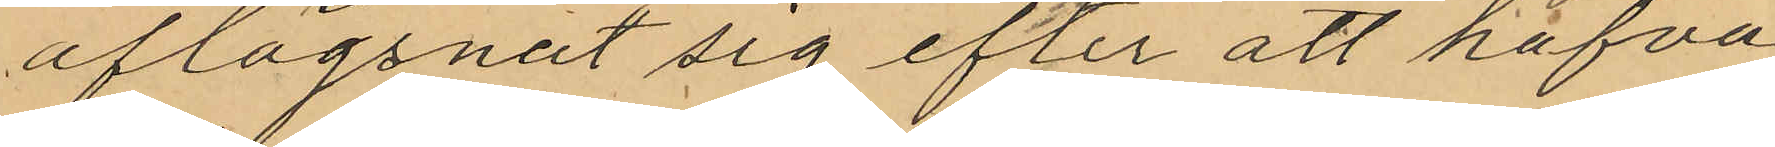aflägsnat sig efter att hafva
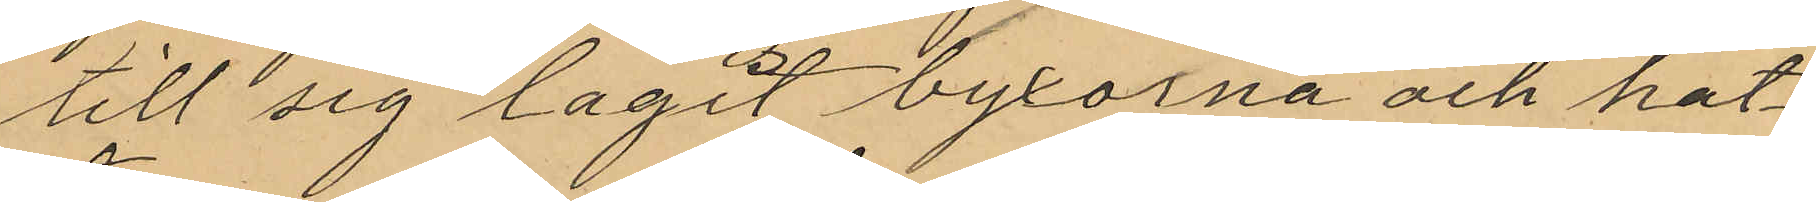till sig lagit byxorna och hat¬
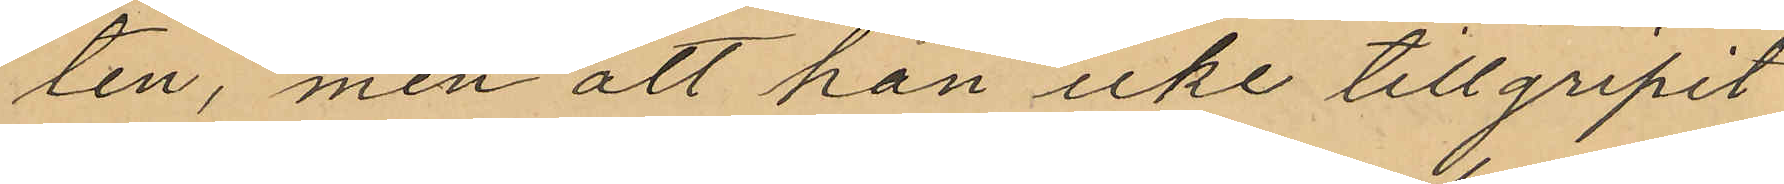ten, men att han icke tillgripit
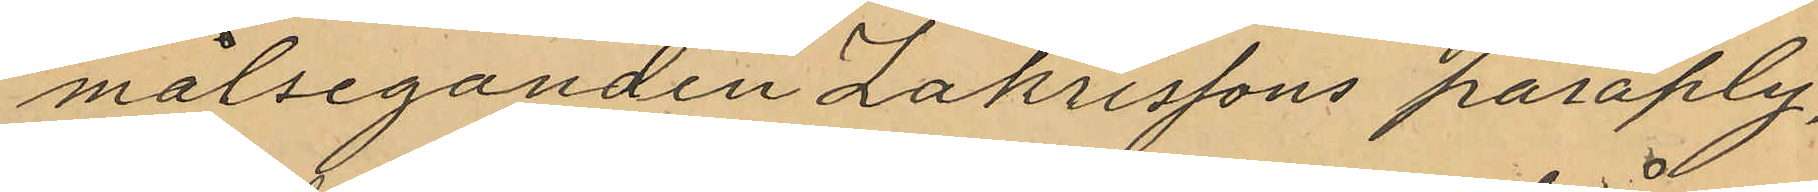målseganden Zakrissons paraply,
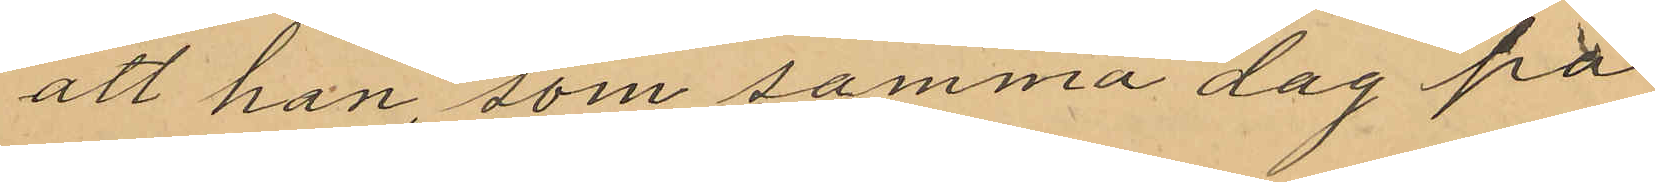att han, som samma dag på
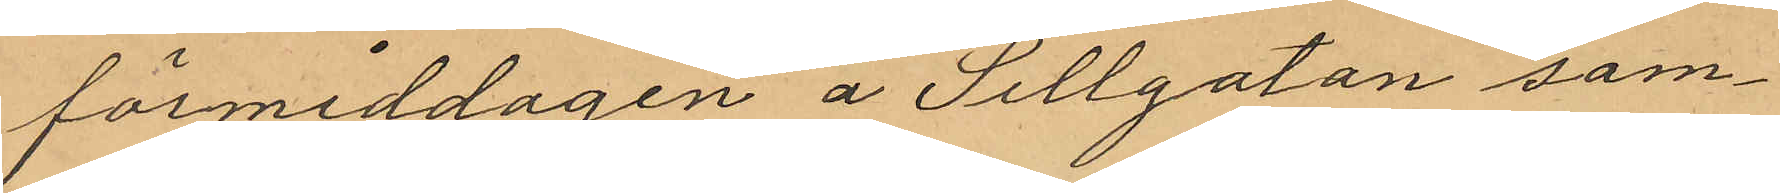förmiddagen å Sillgatan sam¬
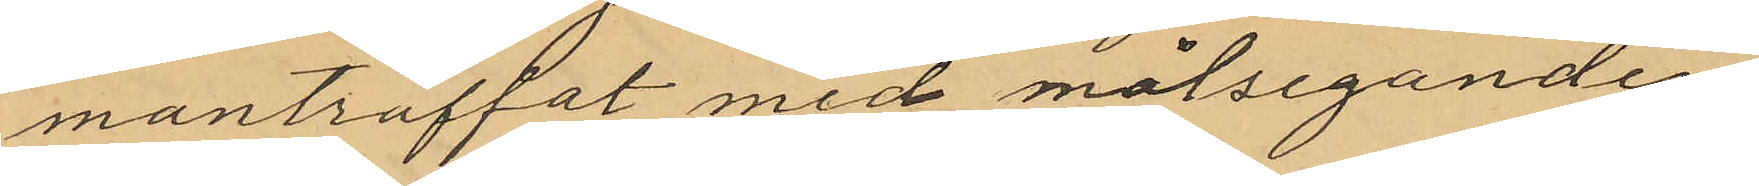manträffat med målseganden
